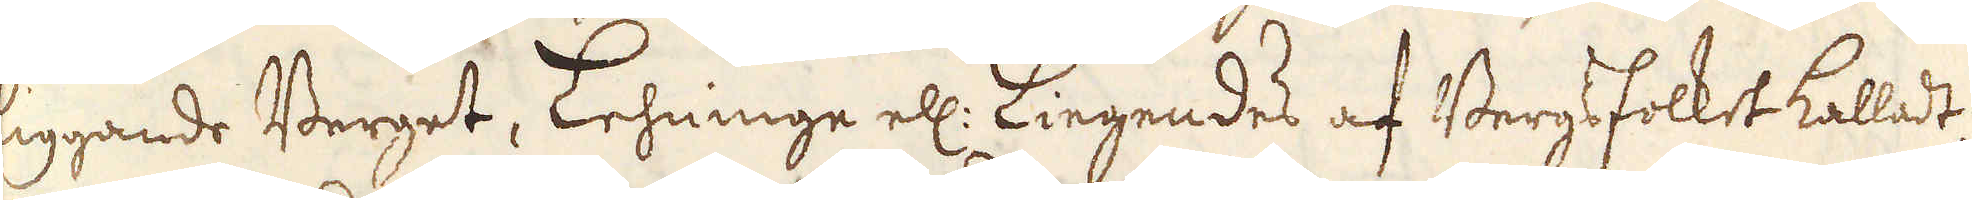liggande Berget, Lehninge ell: Liegendes af Bergsfolket kalladt,
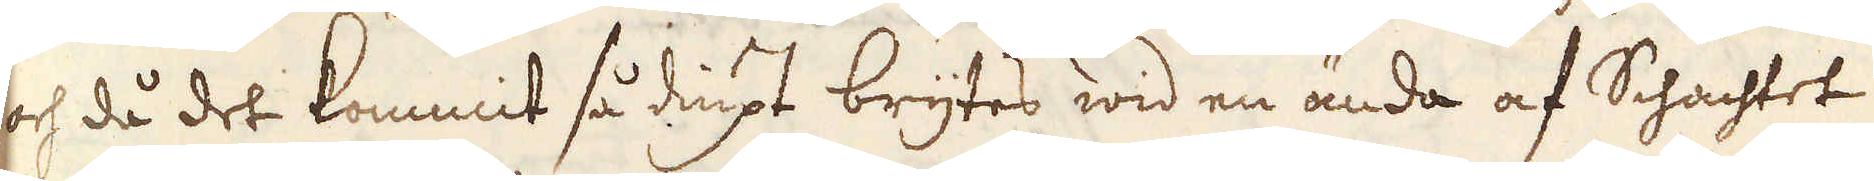och då det kommit så diupt brytes wid en ända af Schachtet
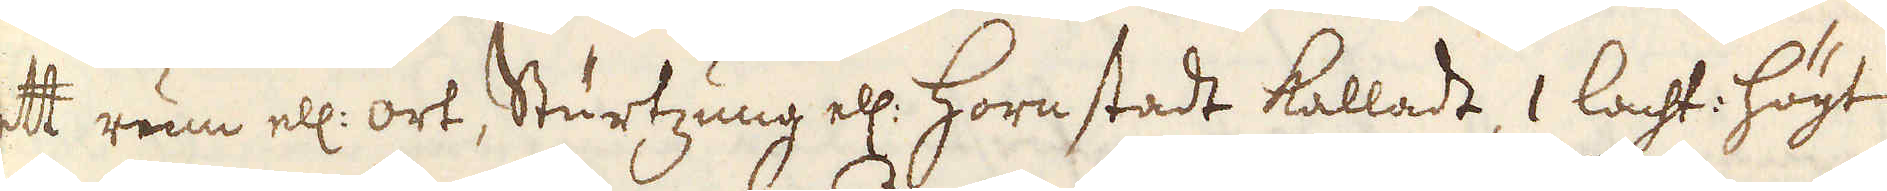ett rum ell: ort, Sturtzung ell: Hornstadt kalladt, 1 lacht: högt
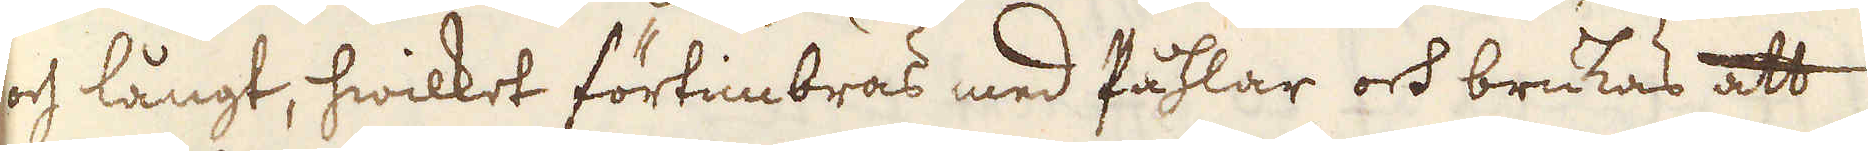och långt, hwilket förtimbras med Påhlar och brukas att
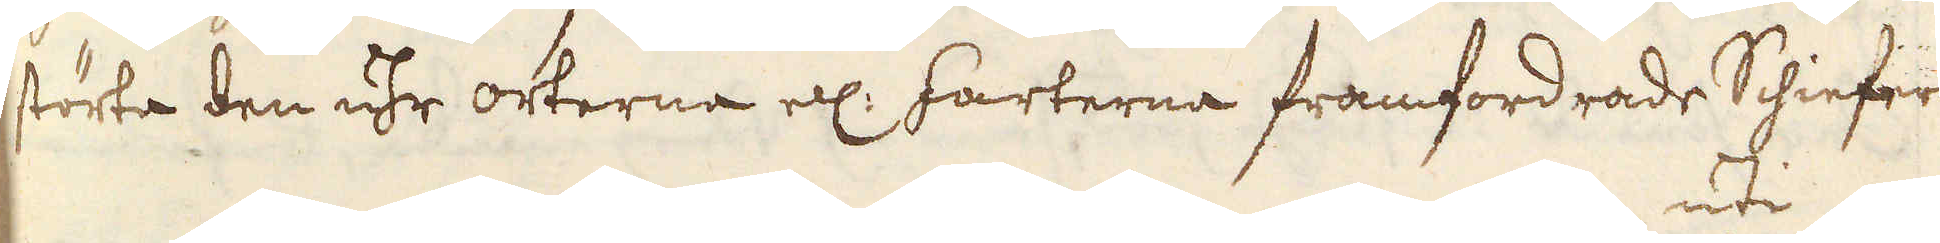störta den uhr orterne ell: farterna framfordrade Schiefern
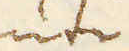uti
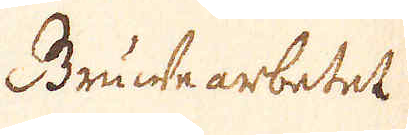Gruwe arbetet.
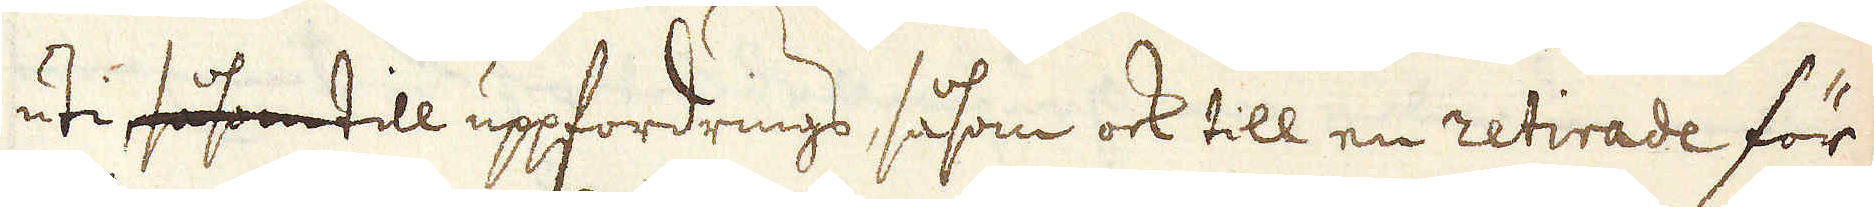uti såsom till uppfordrings, såsom ock till en retirade för
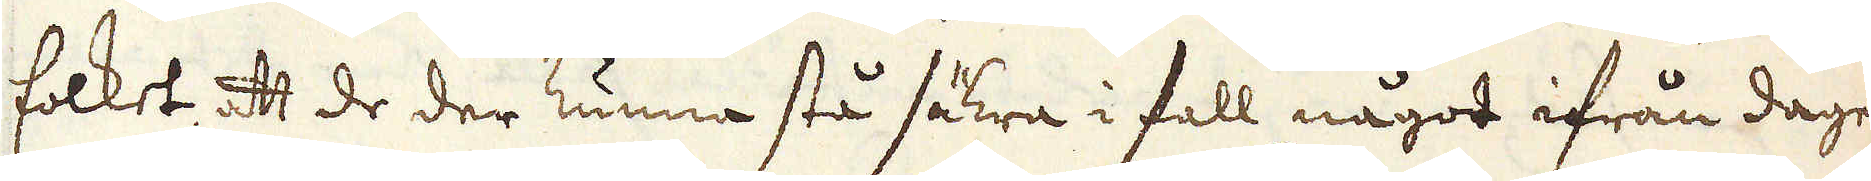folket, att de der kunna stå säkra i fall något ifrån dagen
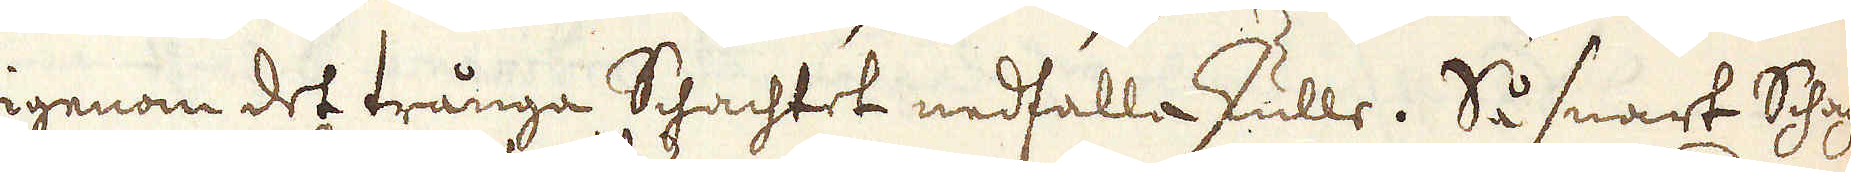igenom det trånga Schachtet nedfalla skulle. Så snart Schach-
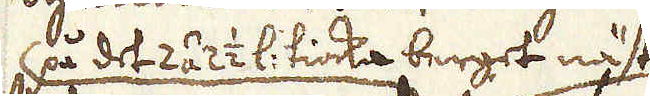på det 2 á 2 1/2 l: tiocka berget näst
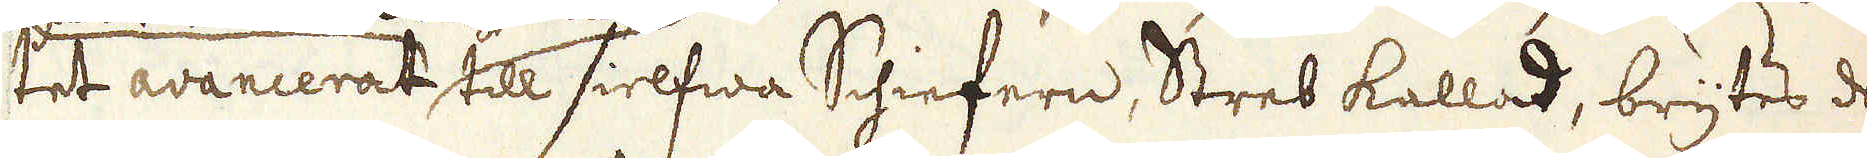tet avancerat till sielfwa Schiefern, Streb kallad, brytes de
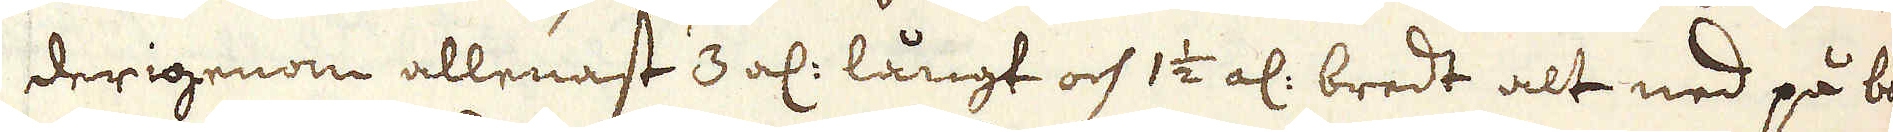derigenom allenast 3 al: långt och 1 1/2 al: bredt alt ned på bo-
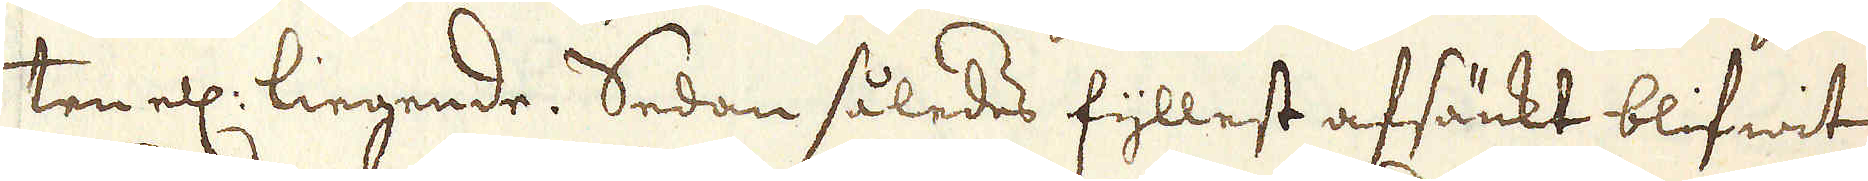ten ell: liegende. Sedan således fyllest afsänkt blifwit,
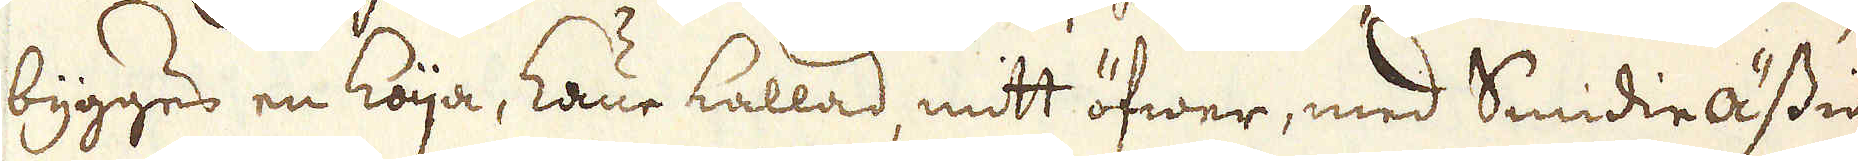bygges en koija, Laue kallad, mitt öfwer, med Smidie Ässia
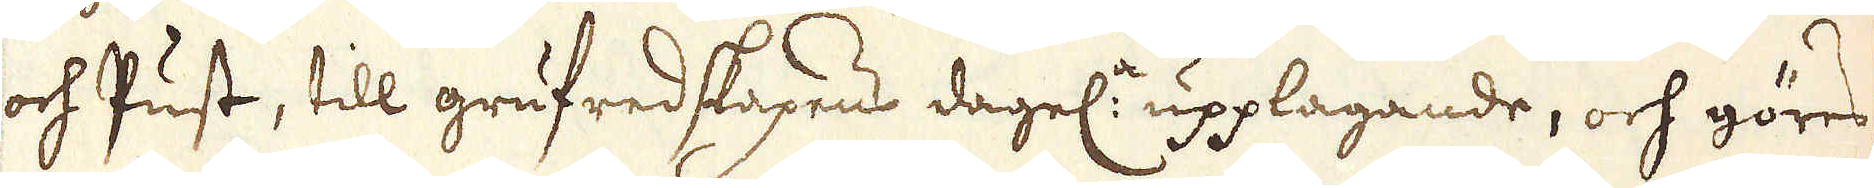och Pust, till grufredskapens dagel:a upplagande, och göres
